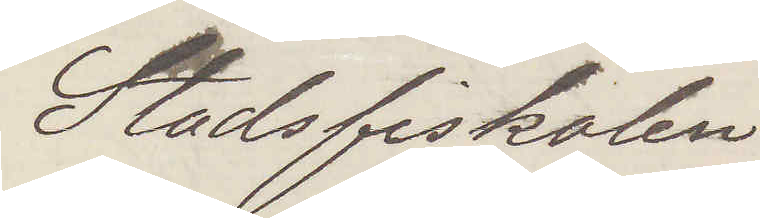Stadsfiskalen
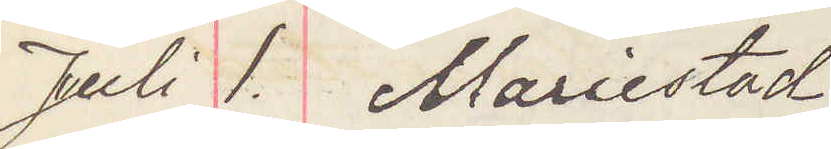Juli 1. Mariestad
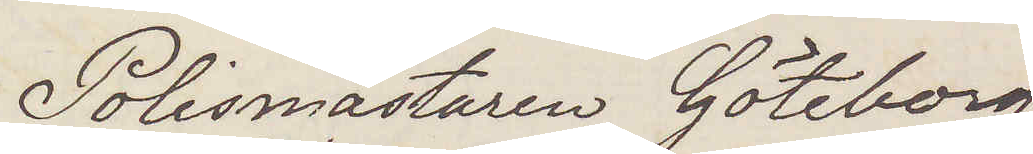Polismästaren Göteborg
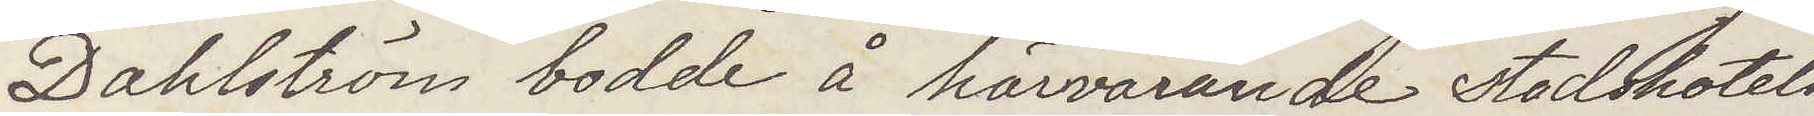Dahlström bodde å härvarande stadshotell
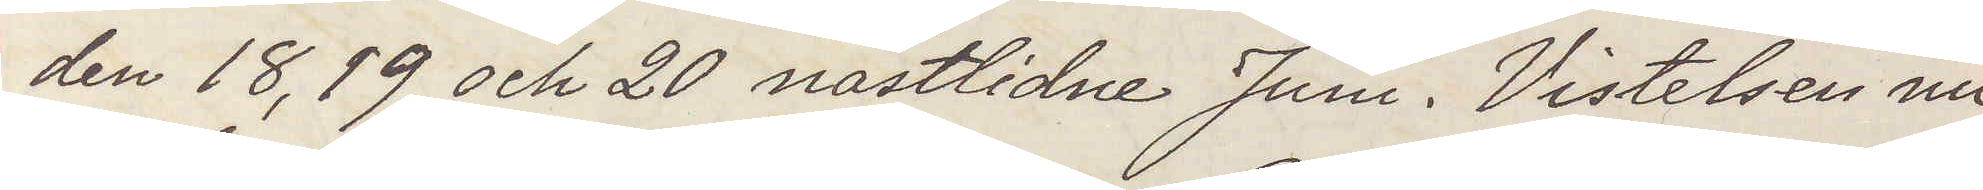den 18, 19 och 20 nästlidne Juni. Vistelsen nu
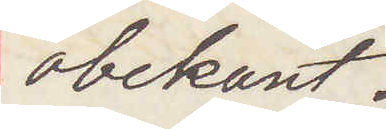obekant.
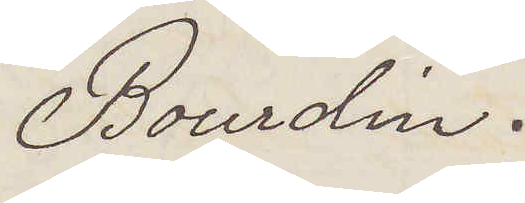Bourdin.
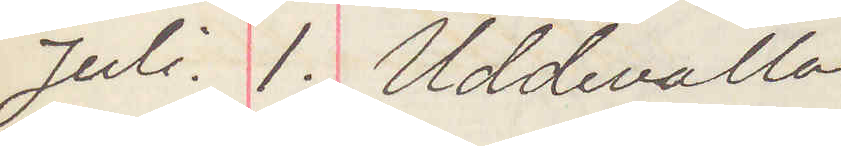Juli. 1. Uddevalla
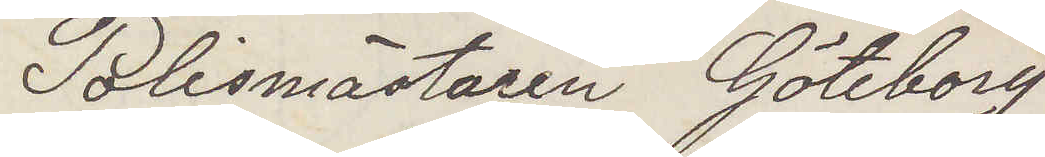Polismästaren Göteborg
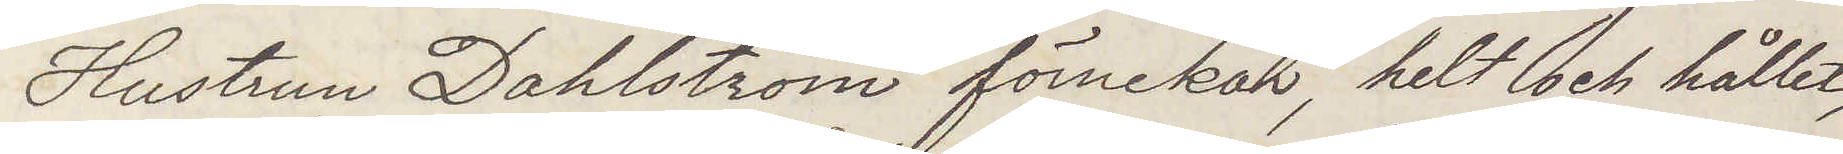Hustrun Dahlström förnekar helt och hållet
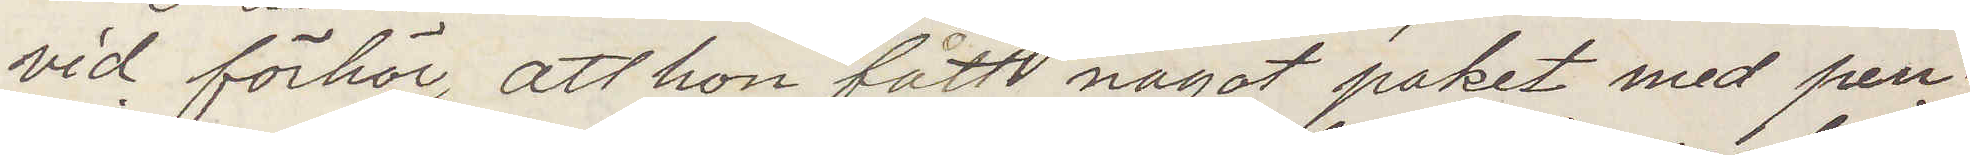vid förhör att hon fått något paket med pen¬
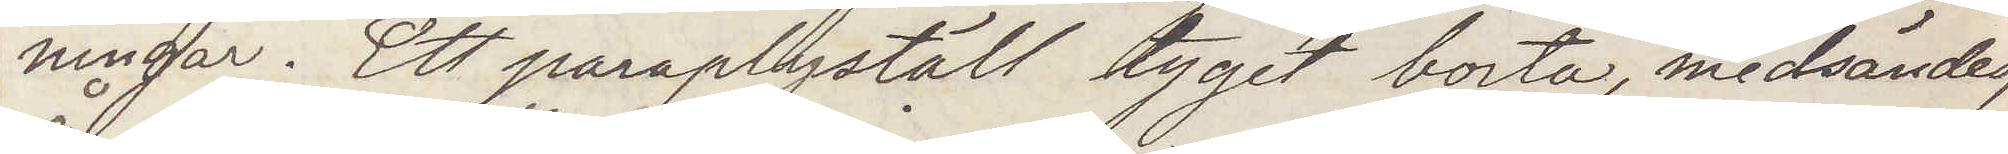ningar. Ett paraplyställ tyget borta, medsändes,
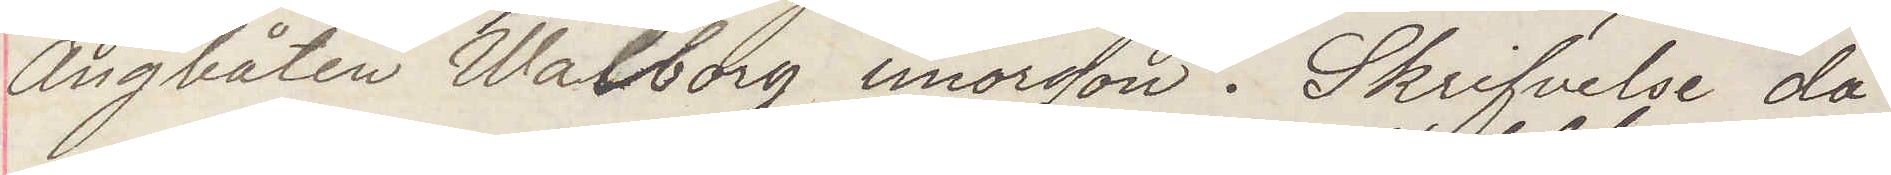Ångbåten Wahlborg imorgon. Skrifvelse då.
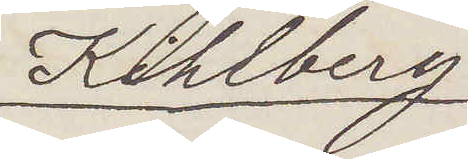Kihlberg.
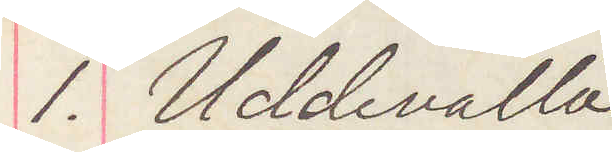1. Uddevalla
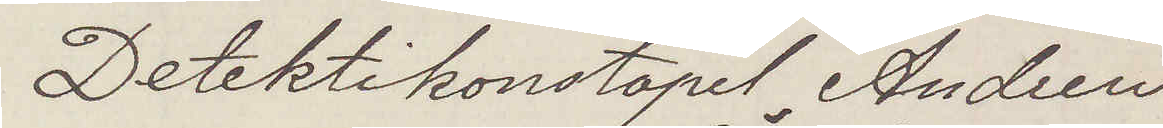Detektivkonstapel Andren
